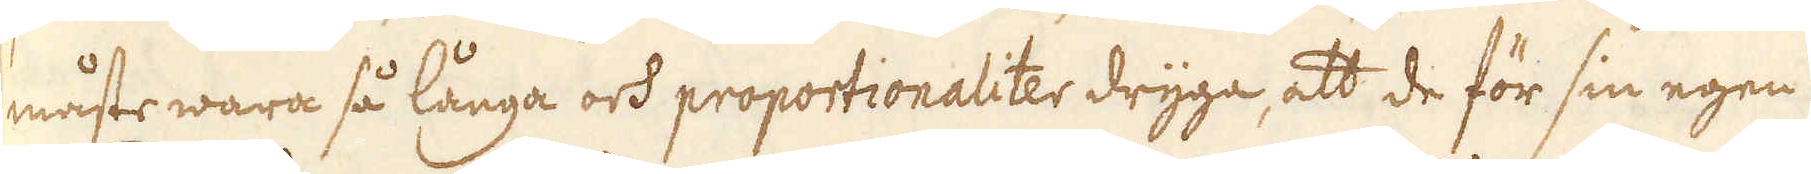måste wara så långa och proportionaliter dryga, att de för sin egen
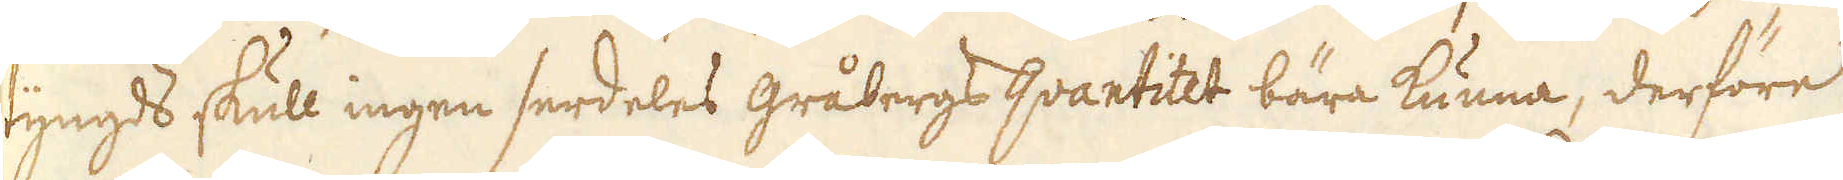tyngds skull ingen serdeles gråbergs qvantitet bära kunna, derföre
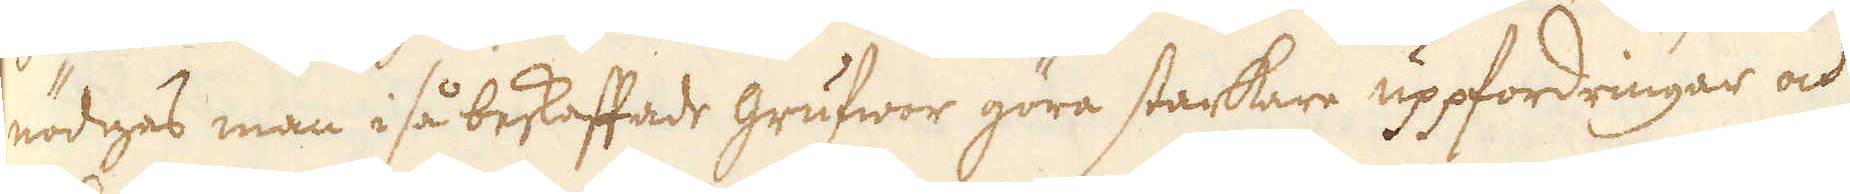nödgas man i så beskaffade grufwor göra starkare uppfordringar och
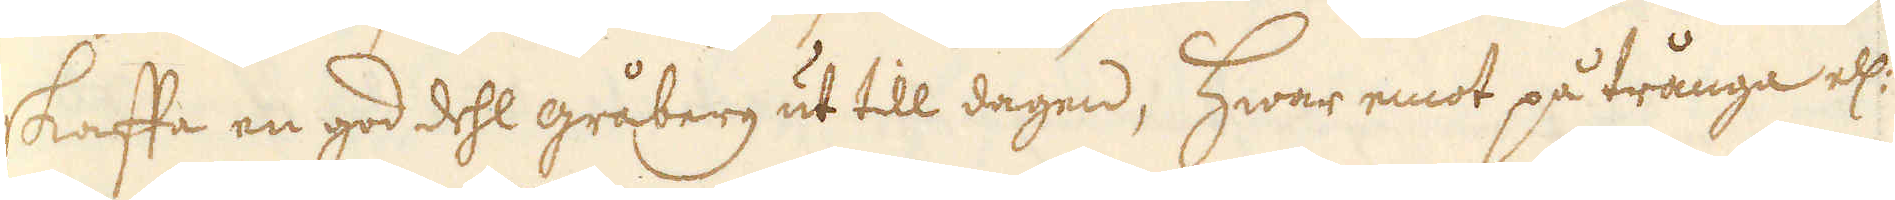skaffa en god dehl gråberg ut till dagen, Hwar emot på trånga ell:
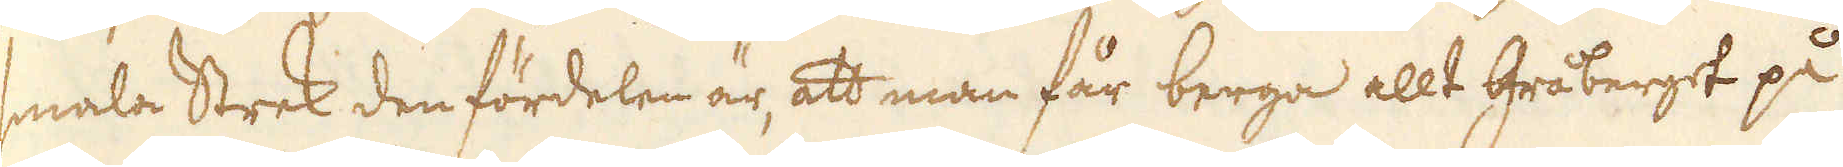smala Strek den fördelen är, att man får berga allt Gråberget på
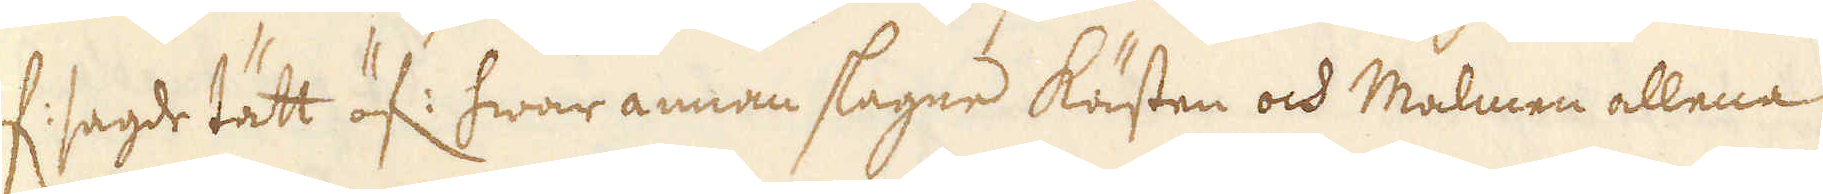of: sagde tätt öf: hwar annan slagne Kästen och Malmen allena
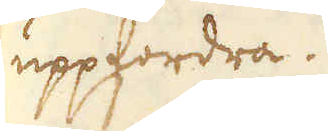uppfordra.
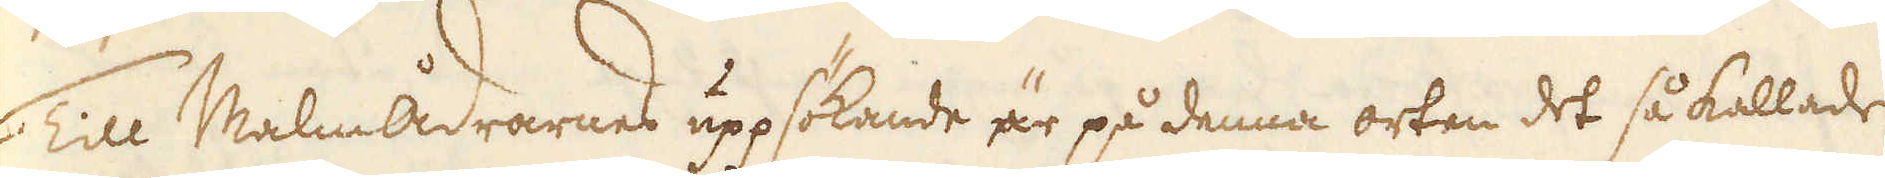Till Malmådrarnes uppsökande är på denna orten det så kalladke
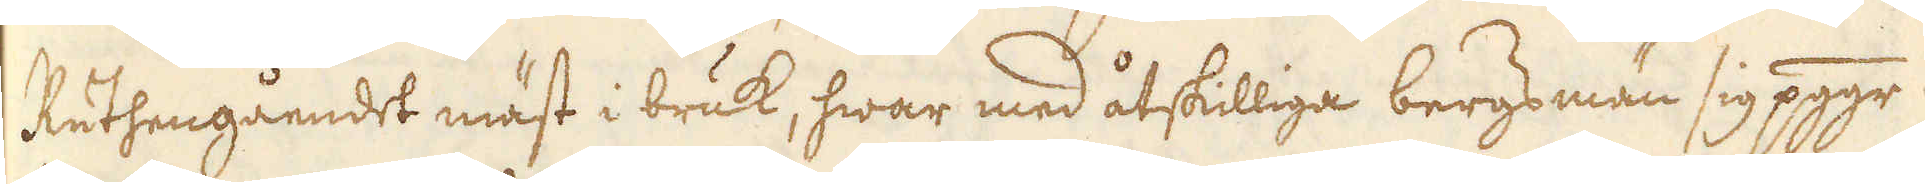Ruthengåendet mäst i bruk, hwar med åtskilliga bergs män sig pggr
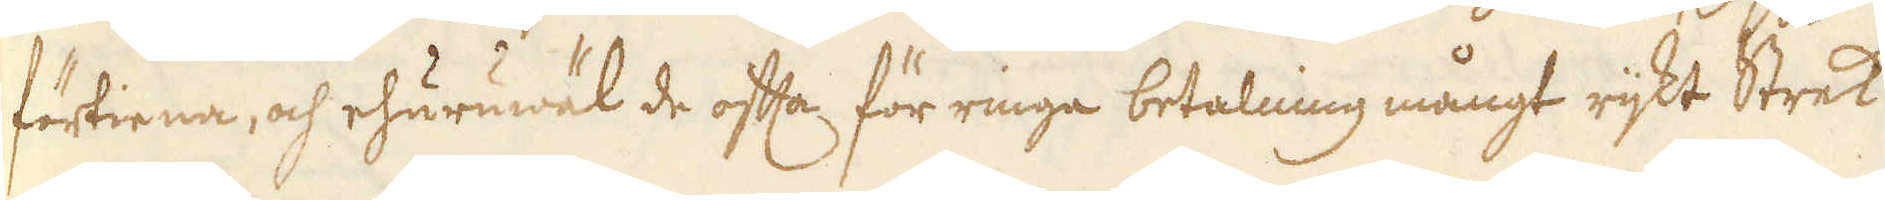förtiena, och ehuruwäl de ofta för ringa betalning mångt rijkt Strek
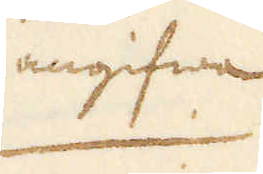angifwa
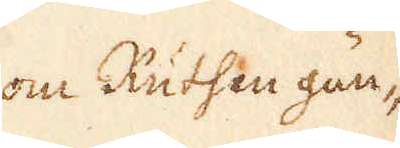om Ruthen gän-
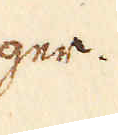ger.
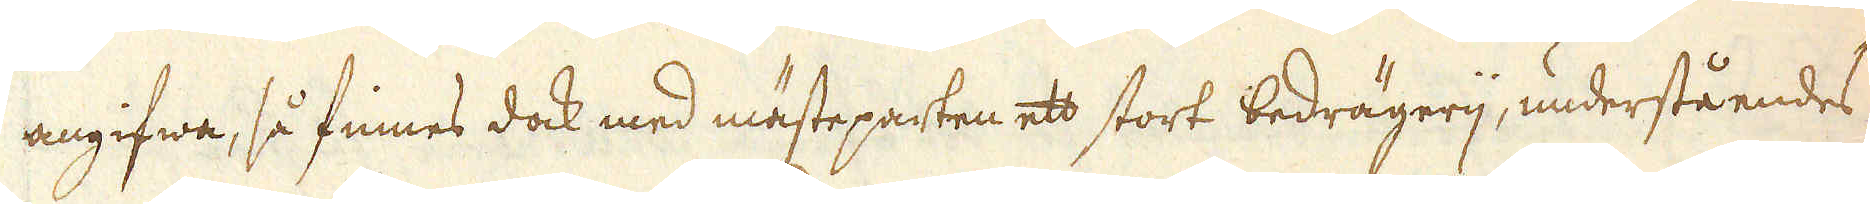angifwa, så finnes dock med mästeparten ett stort bedrägerij, underståendes
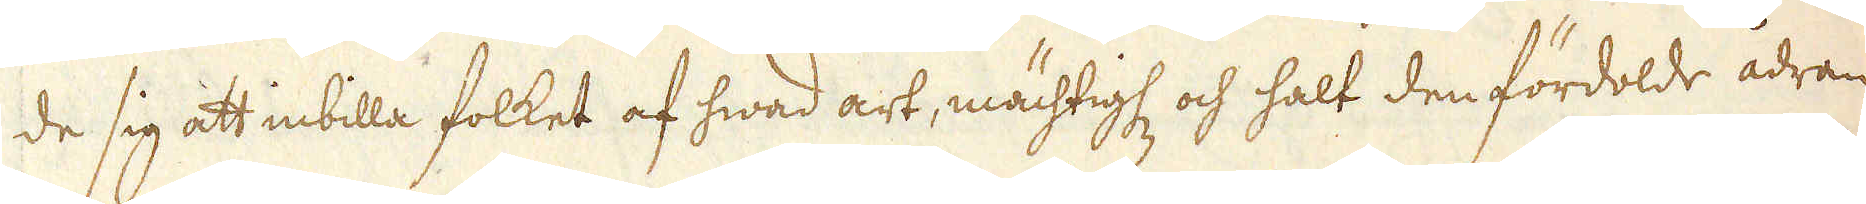de sig att inbilla folket af hwad art, mächtigh: och halt den fördolde ådran
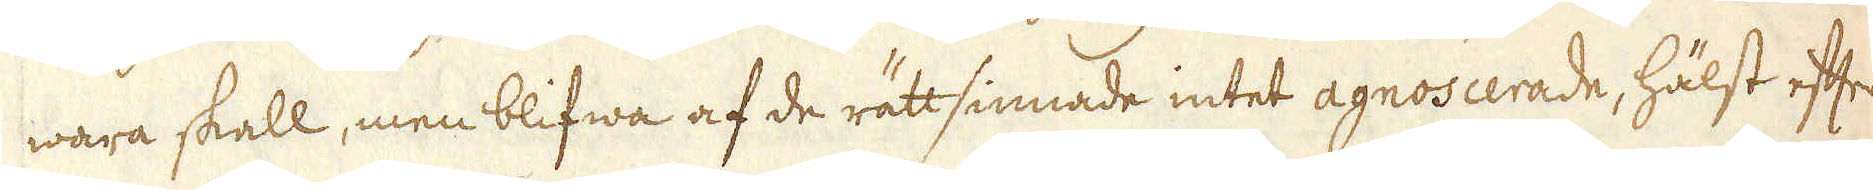wara skall, men blifwa af de rättsinnade intet agnoscerade, hälst efter
